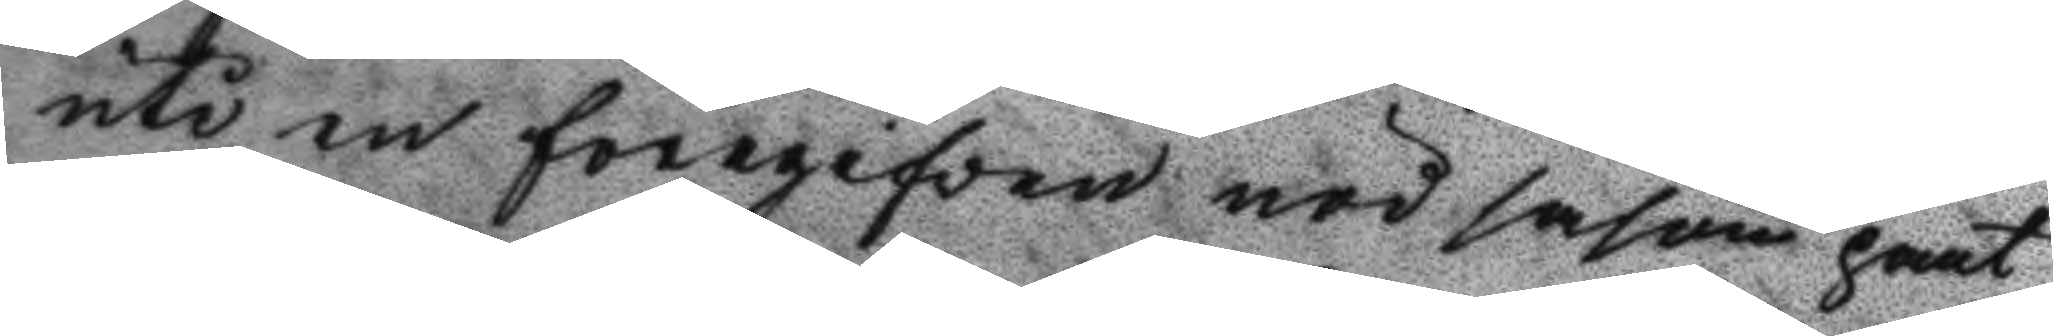uti en föregifven nöd såsom pant
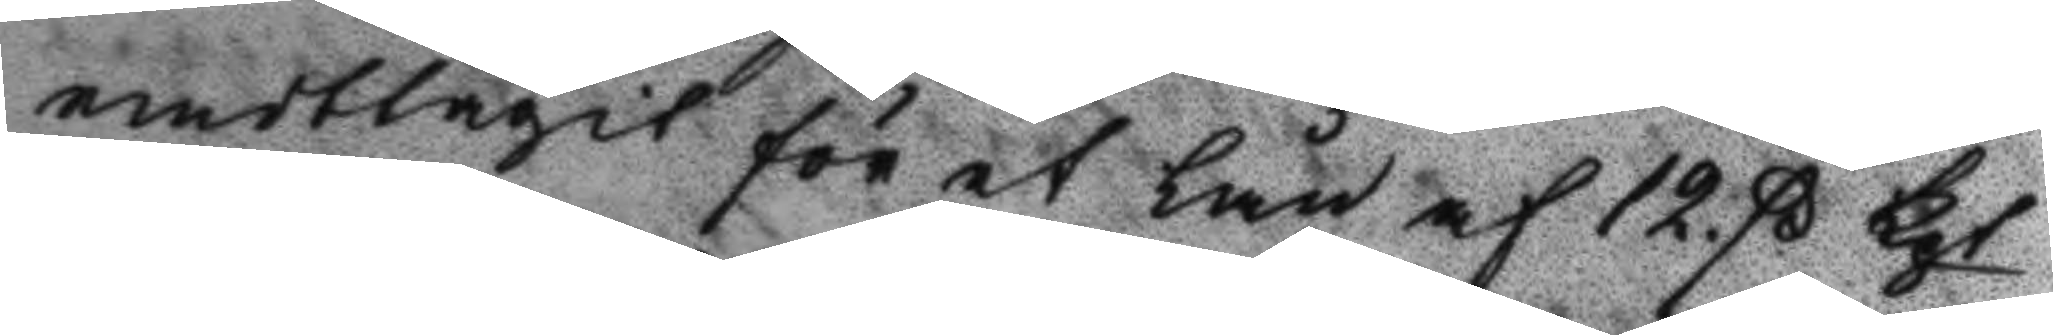andtagit för et lån af 12. ß Kpt
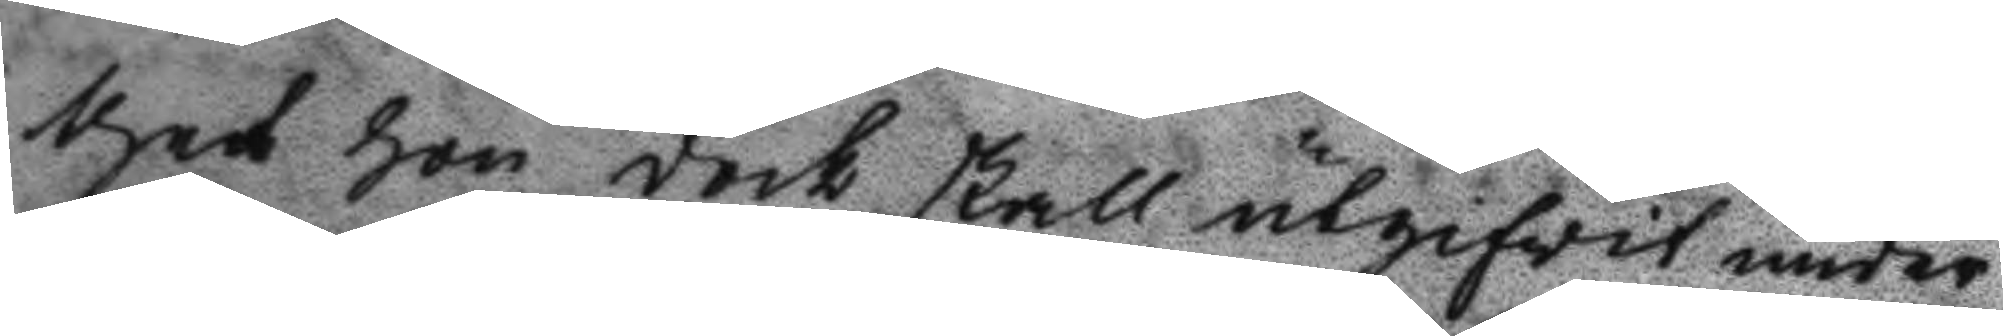thet hon dock skall utgifvit under
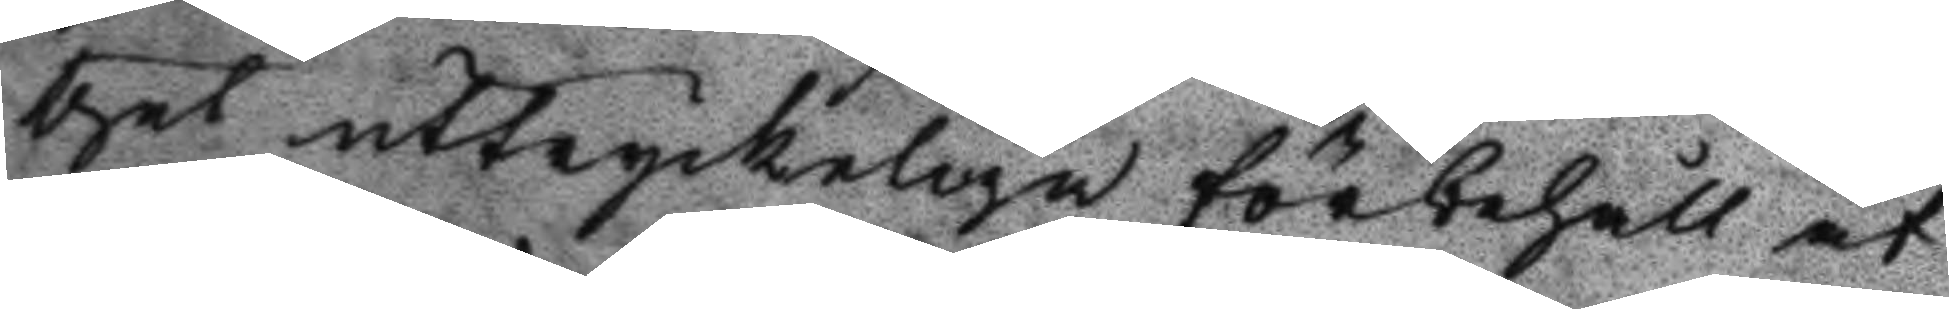thet uttryckeliga förbehåll at
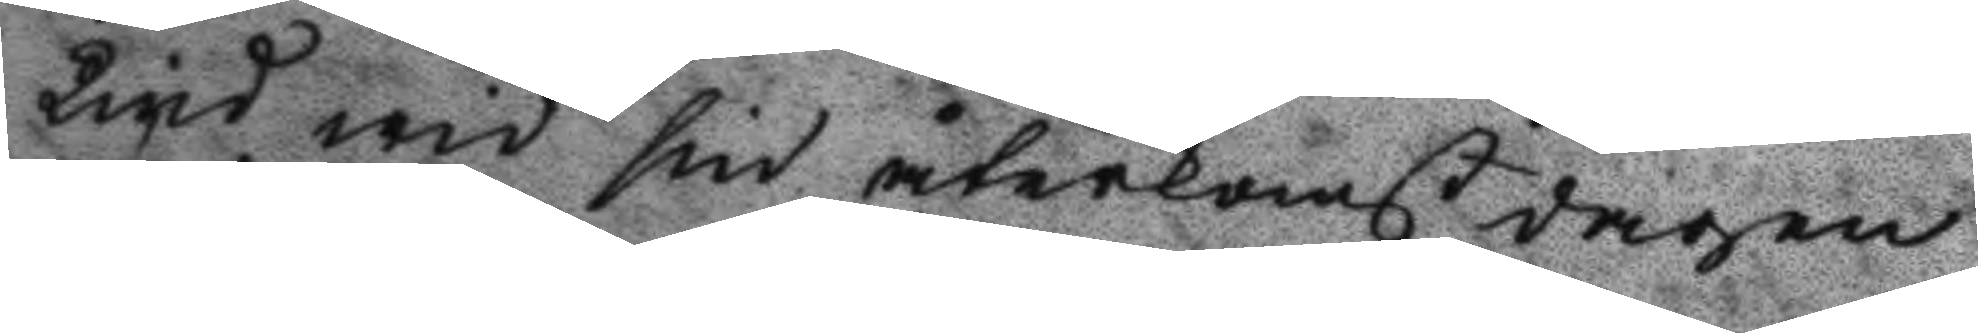Lind wid sin återkomst dagen
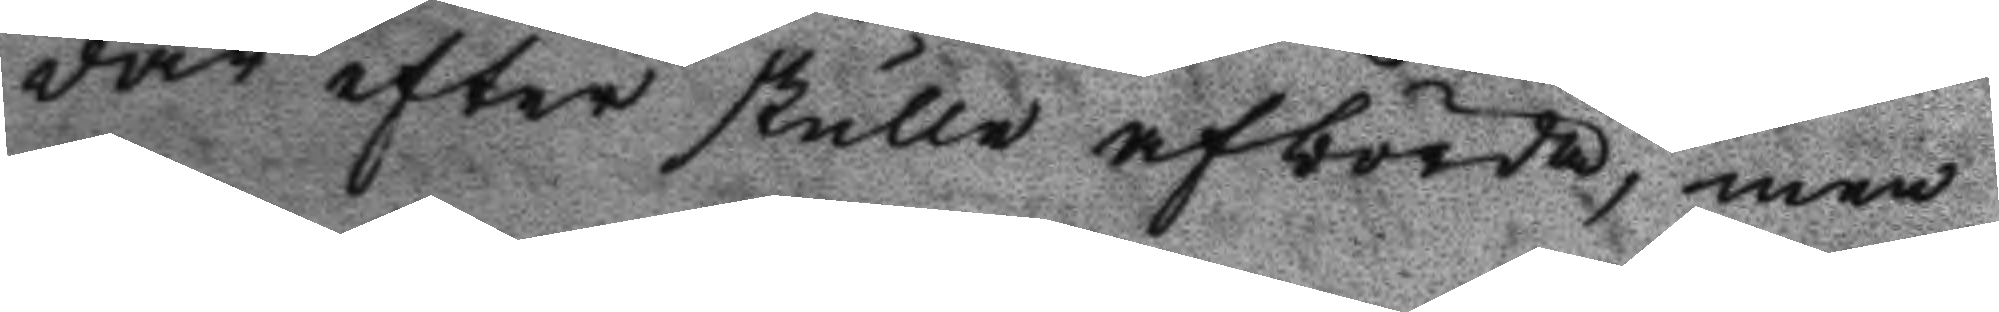där efter skulle afbörda, men
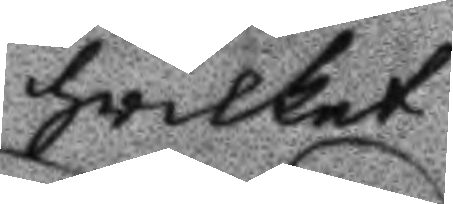hvilket
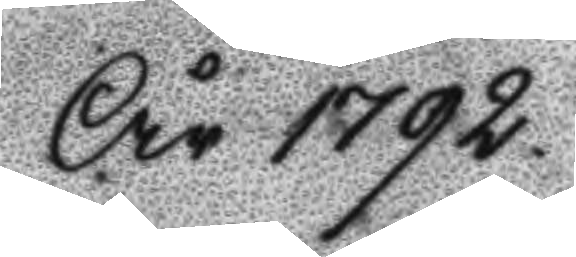År 1792.
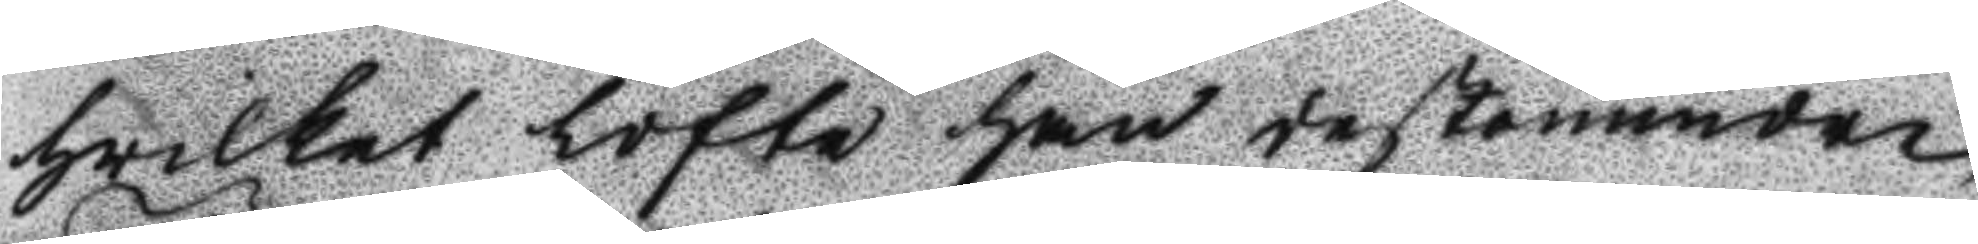hvilket löfte han destomindre
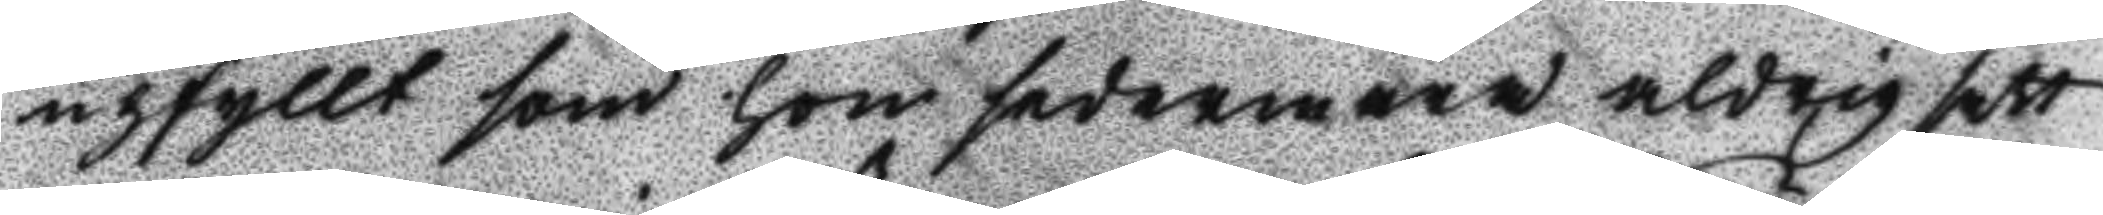upfyllt som hon sedermera aldrig sett
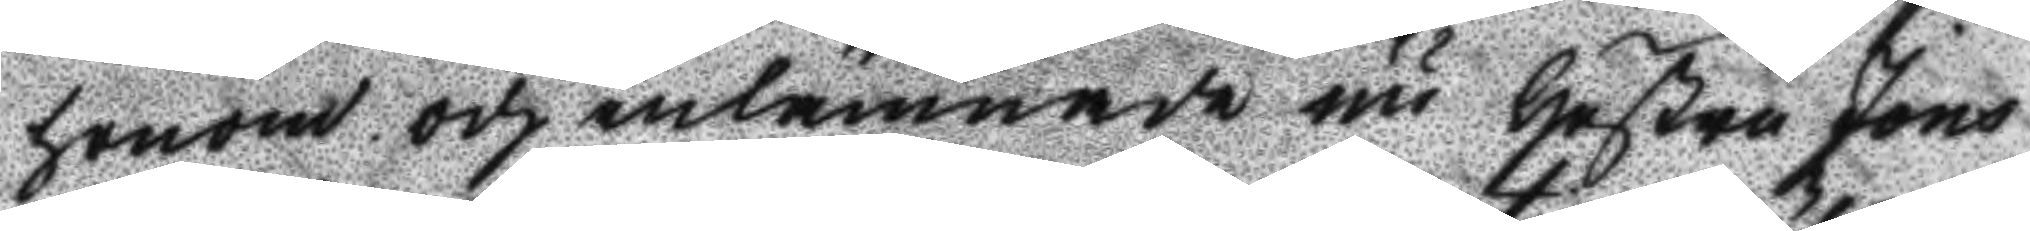honom. och inlämnade nu Hustru Jöns
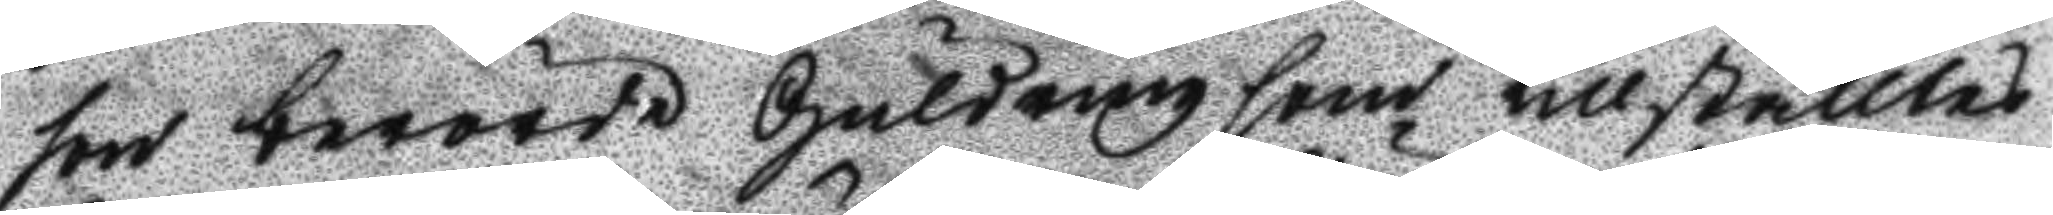son berörde Guldring som tillställdes
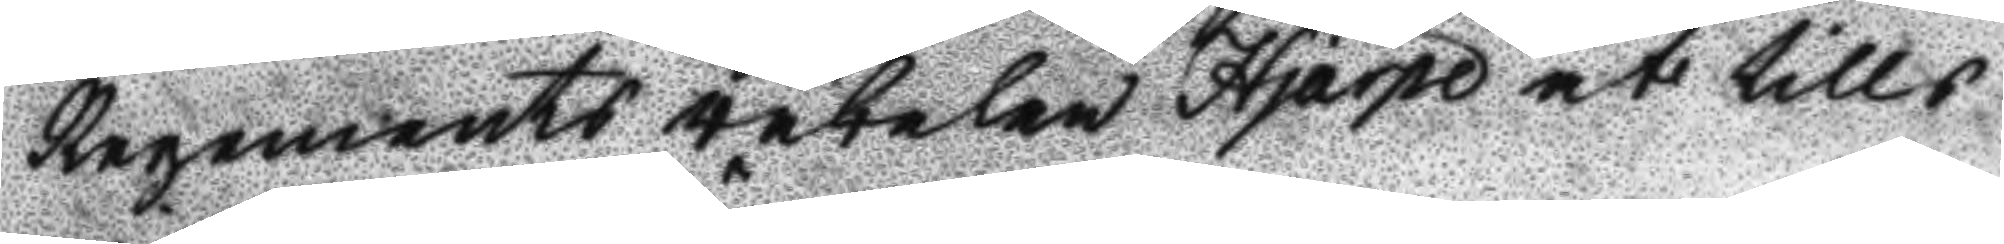Regements väbelen Hjärpe at tills
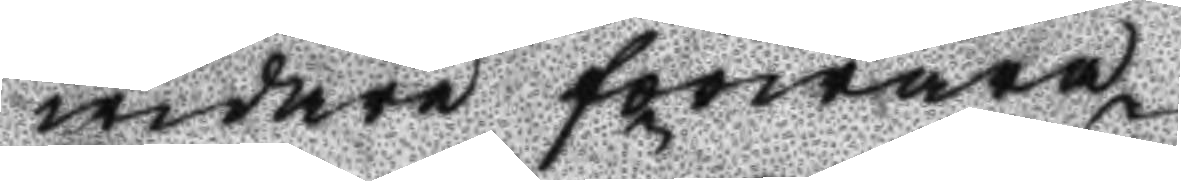widare förwara.
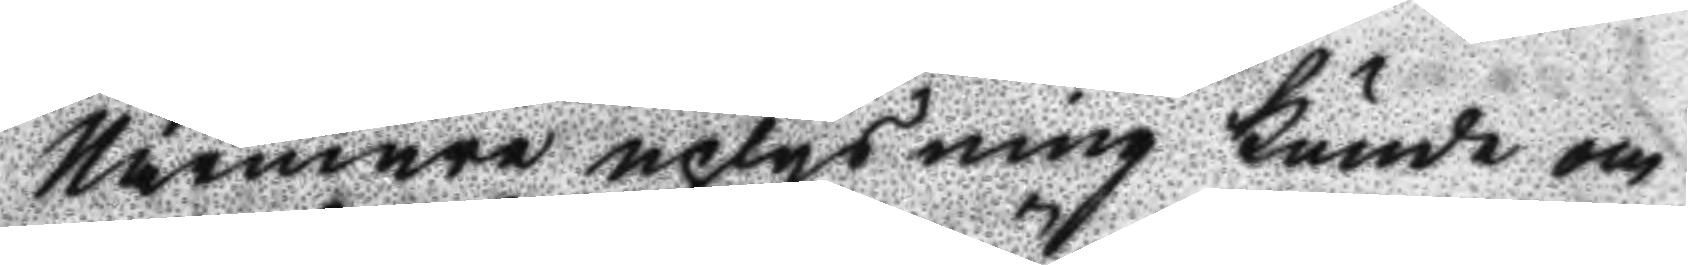Närmare uplysning kunde om
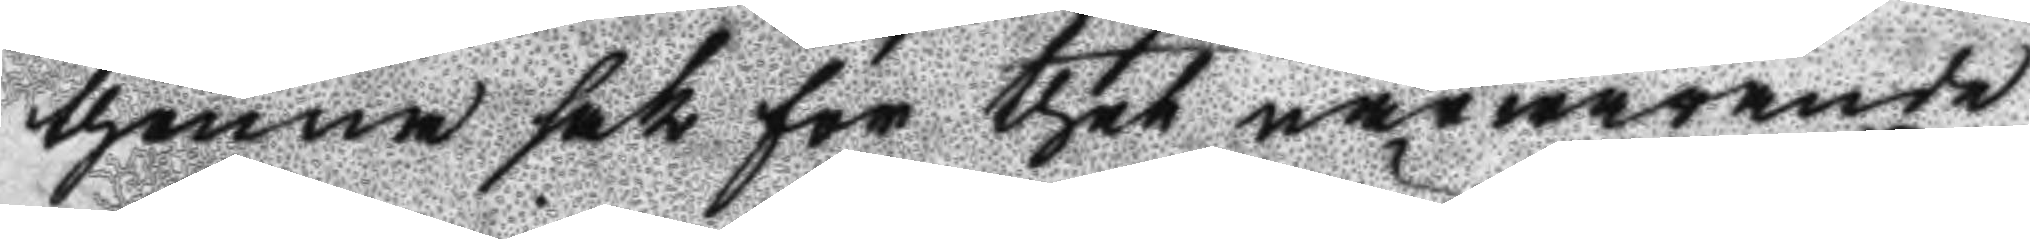thenna sak för thet närwarande
